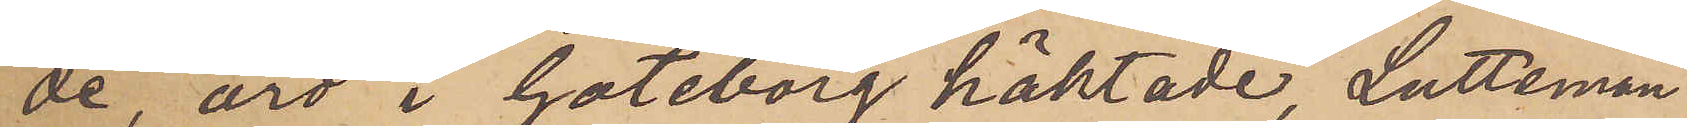de, äro i Göteborg häktade, Lutteman
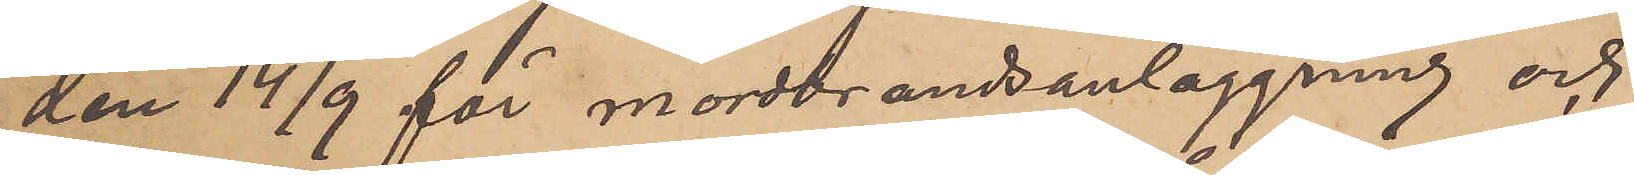den 14/9 för mordbrandsanläggning och
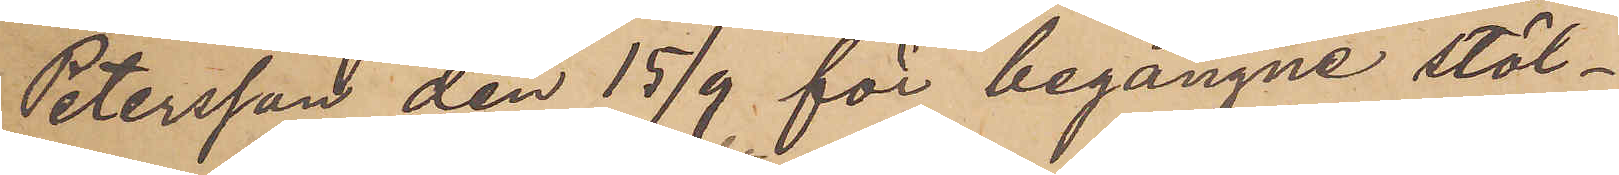Petersson den 15/9 för begångne stöl¬
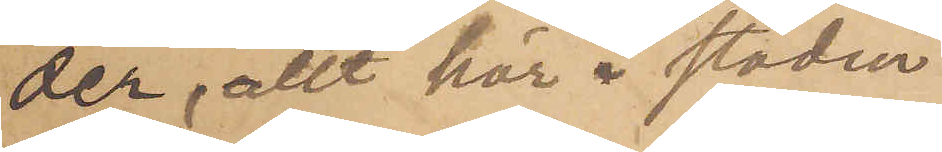der, allt här i staden.
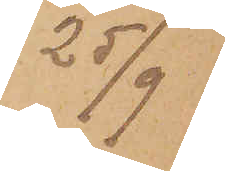25/9
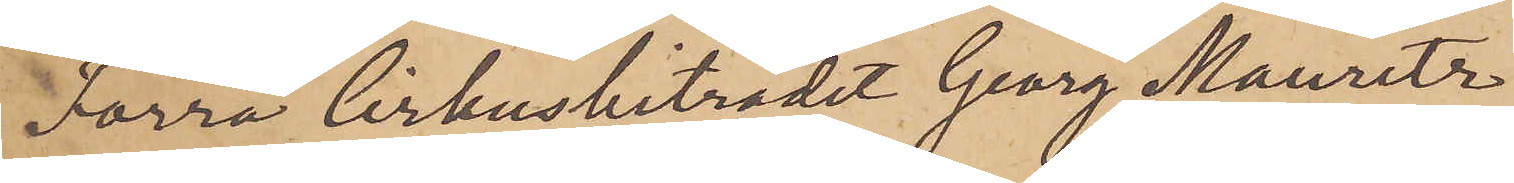Förra Cirkusbiträdet Georg Mauritz
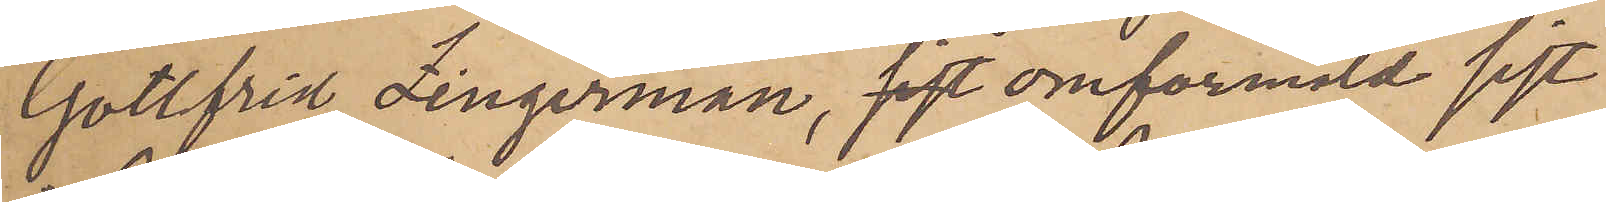Gottfrid Zingerman, sist omförmäld sist
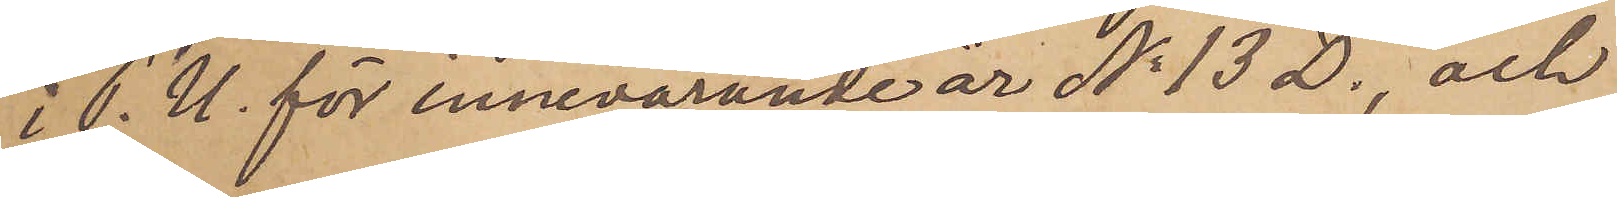i P.U. för innevarande år No 13 D. och
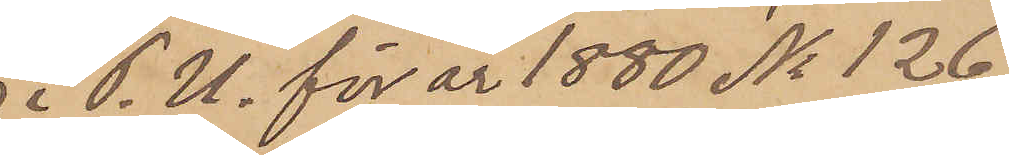i P.U. för år 1880 No 126
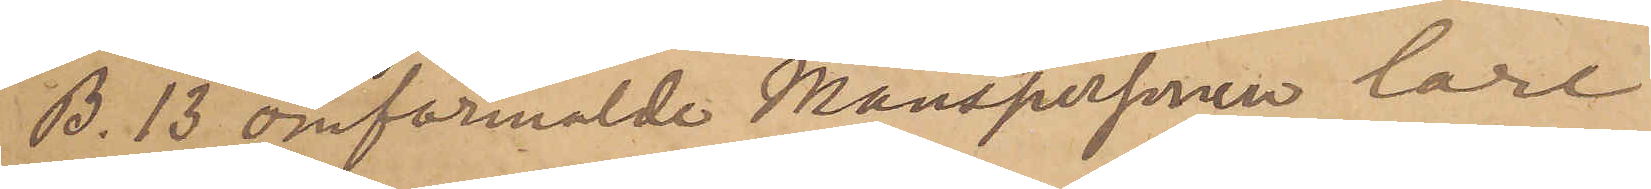B. 13 omförmälde Manspersonen lare
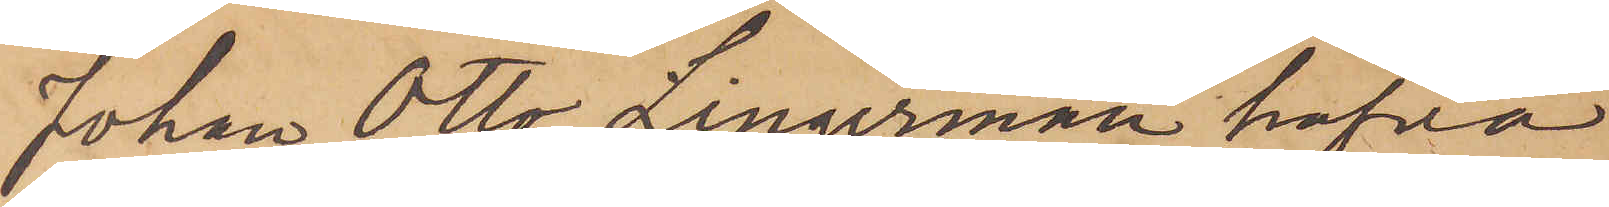Johan Otto Lingerman hafva
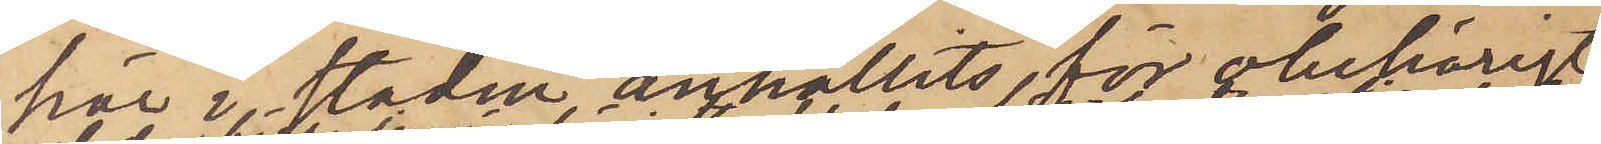här i staden anhållits, för obehörigt
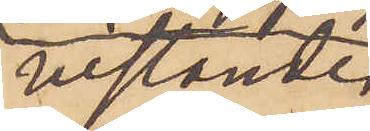vistande
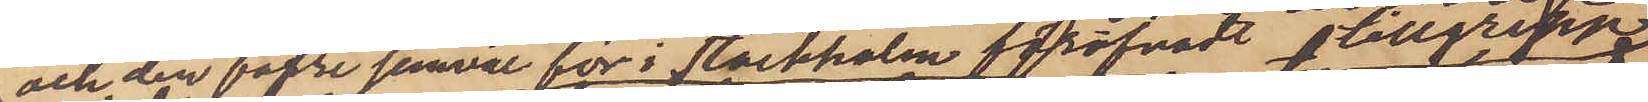och den förre jemväl för i Stockholm föröfvadt tillgrepp
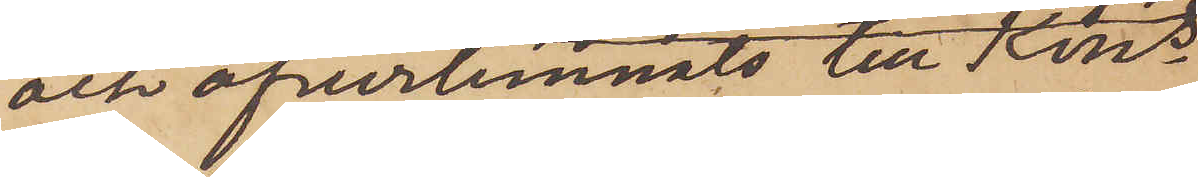och öfverlemnats till Kons
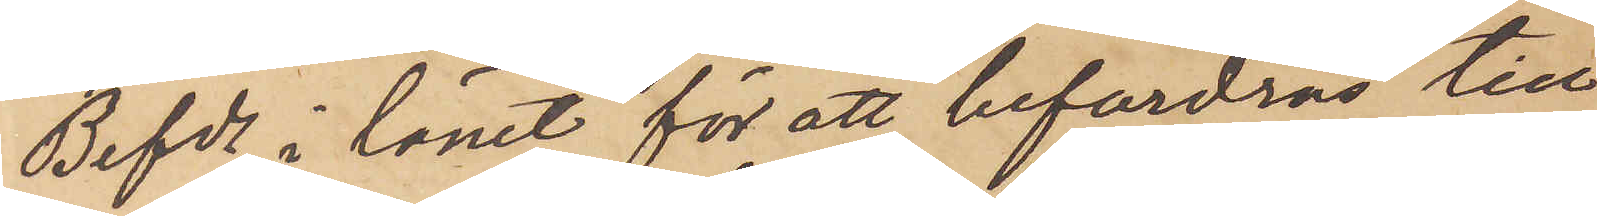Befde i länet för att befordras till
